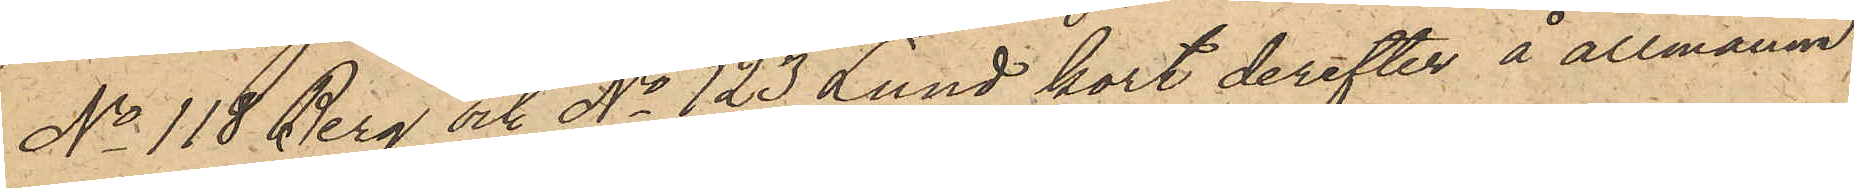No 118 Berg och No 123 Lund kort derefter å allmänna
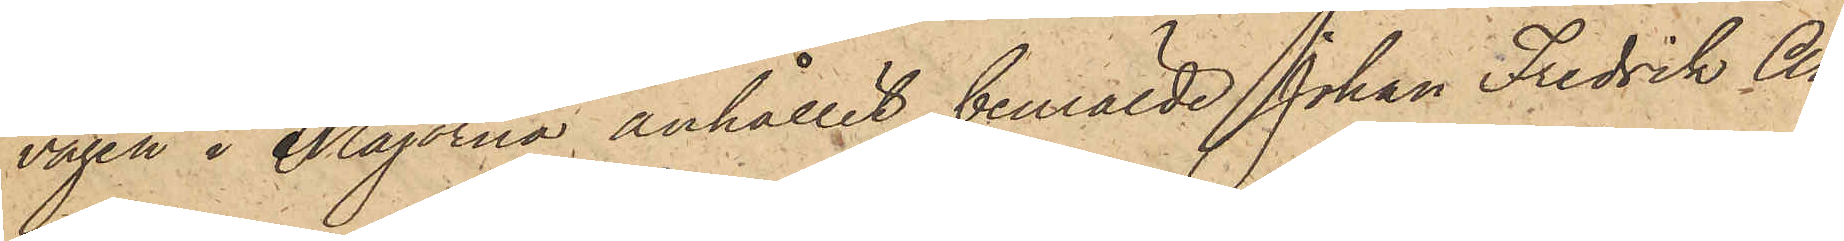vägen i Majorna anhållit bemälde Johan Fredrik An¬
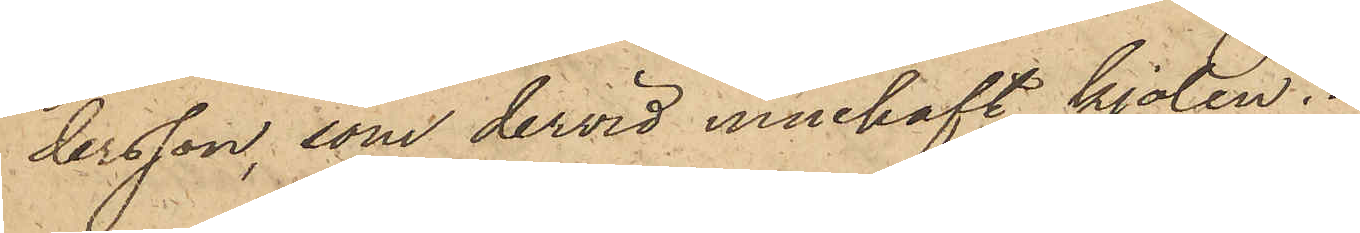dersson, som dervid innehaft kjolen.
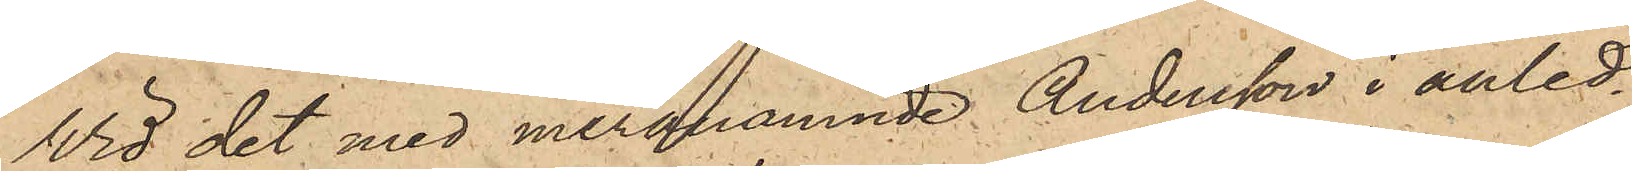Vid det med meranämnde Andersson i anled¬
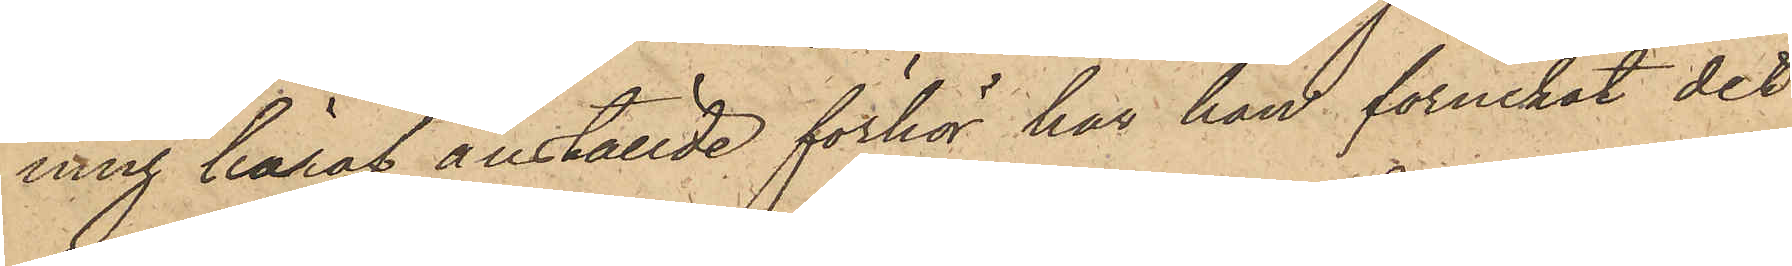ning häraf anställde förhör har han förnekat det
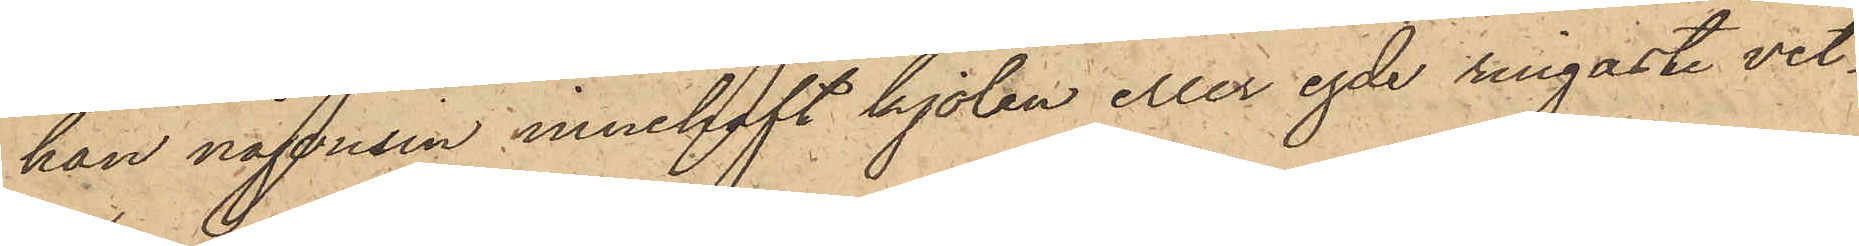han någonsin innehaft kjolen eller egde ringaste vet¬
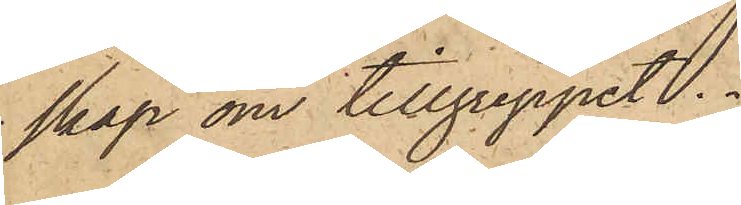skap om tillgreppet.
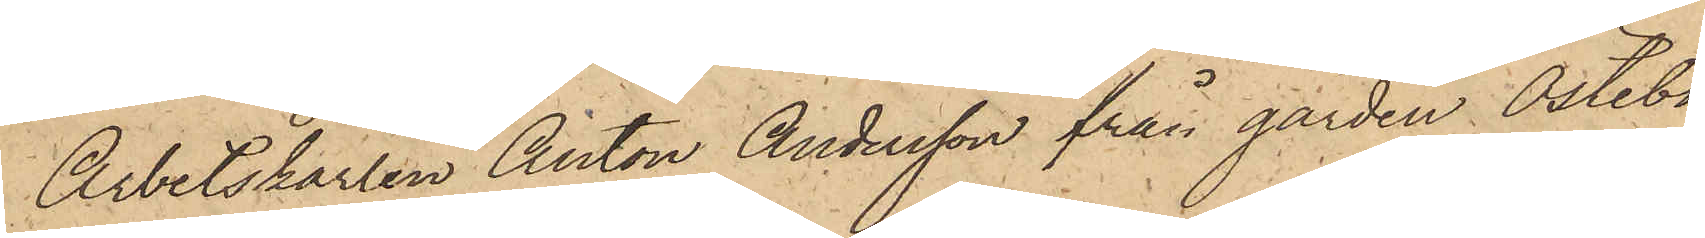Arbetskarlen Anton Andersson från gården Östebo
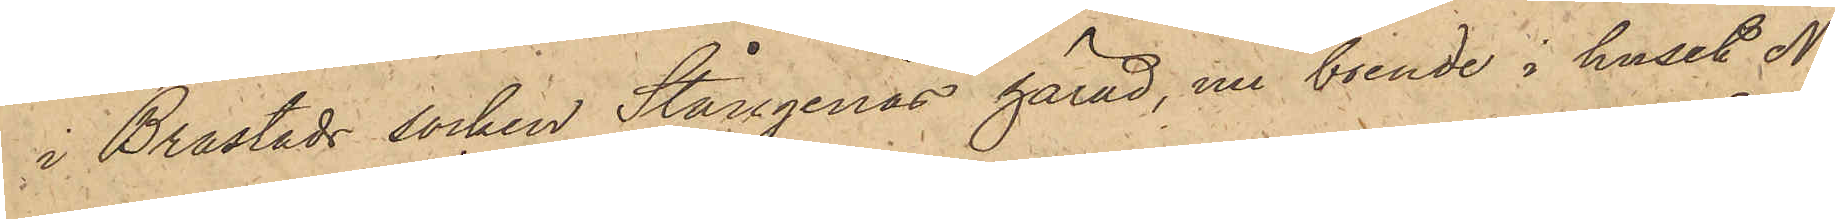i Brastads socken Stångenäs härad, nu boende i huset No
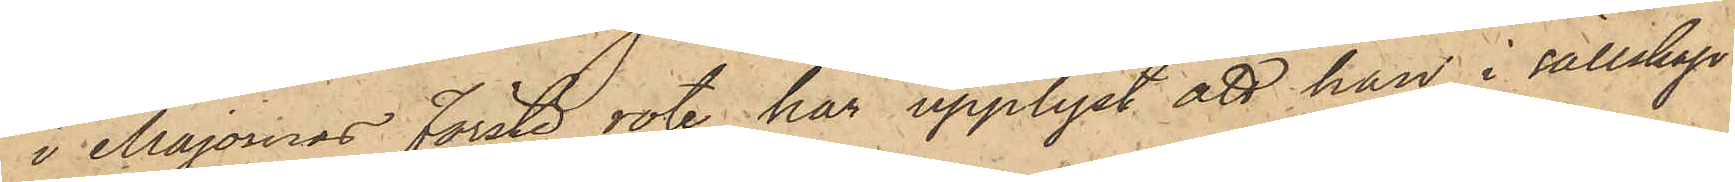  i Majornas förste rote, har upplyst att han i sällskap
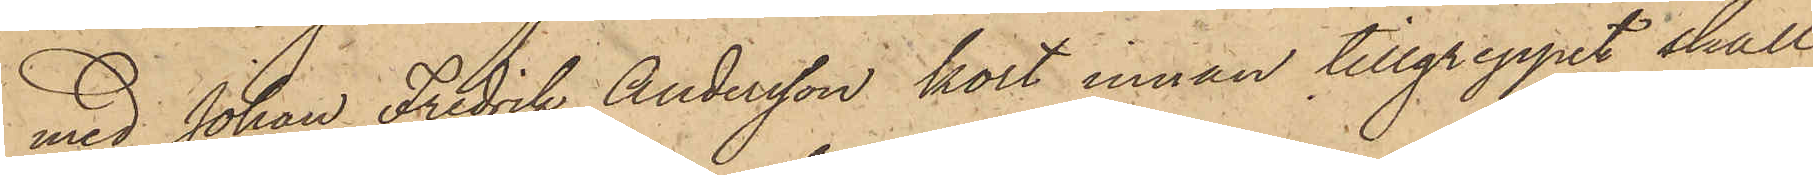med Johan Fredrik Andersson kort innan tillgreppet skulle
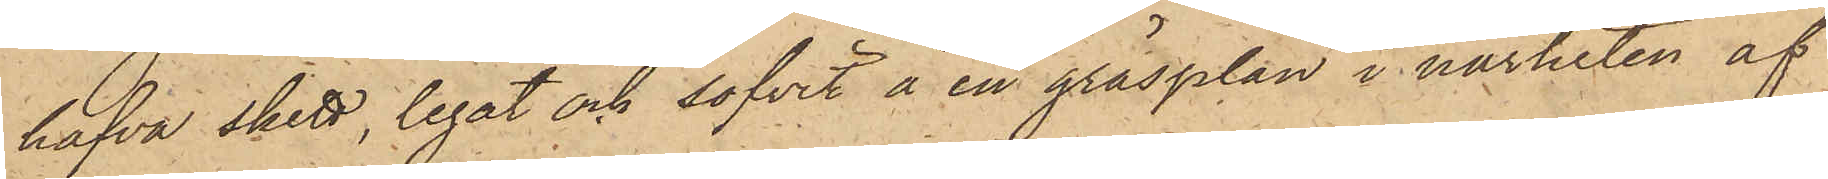hafva skett, legat och sofvit å en gräsplan i närheten af
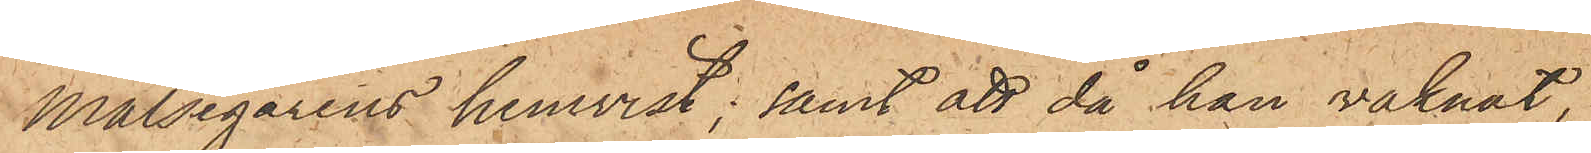Målsegarens hemvist; samt att då han vaknat,
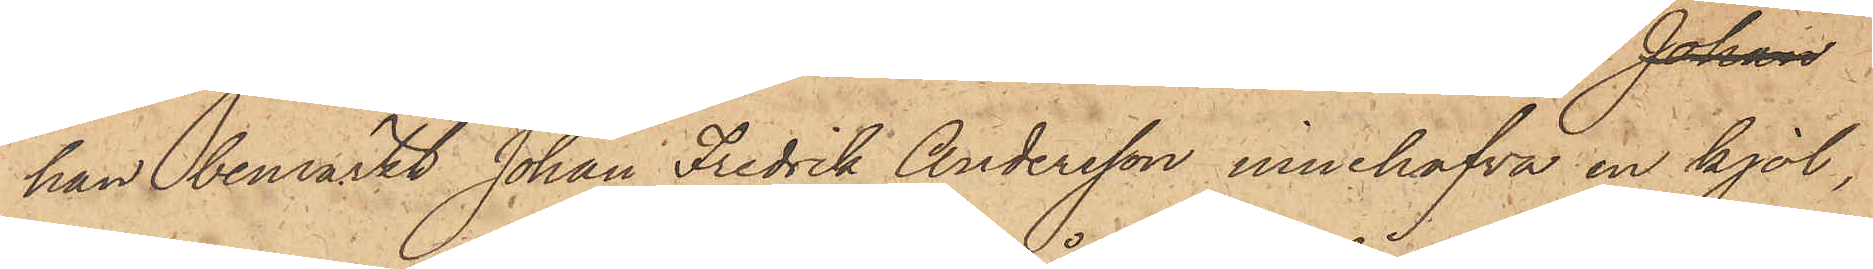han bemärkt Johan Fredrik Andersson innehafva en kjol,
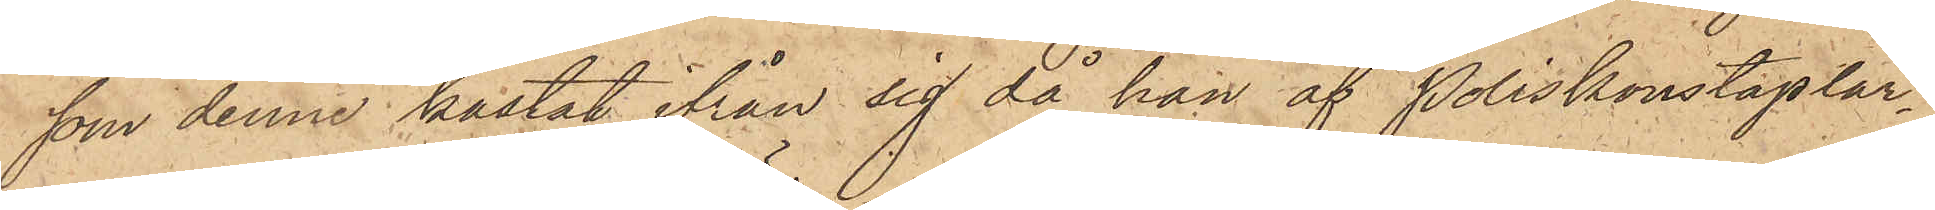som denne kastat ifrån sig då han af Poliskonstaplar¬
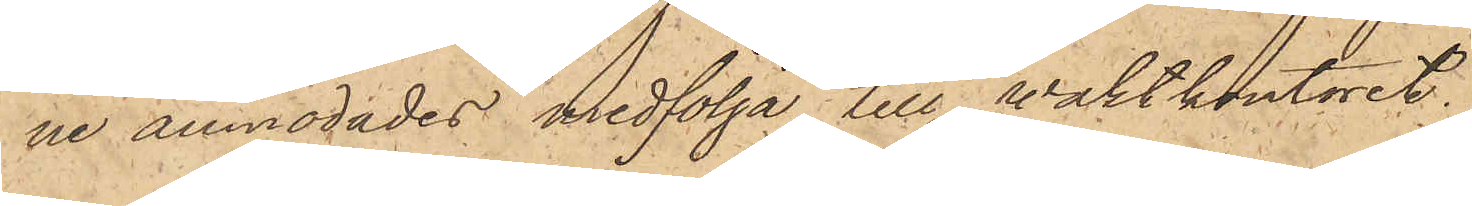ne anmodades medfölja till vaktkontoret.
